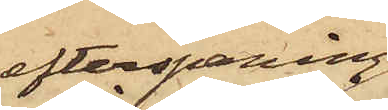efterspaning
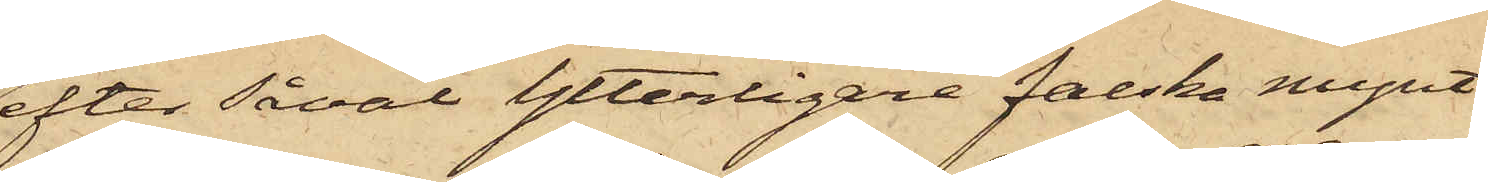efter såväl Ytterligare falska mynt
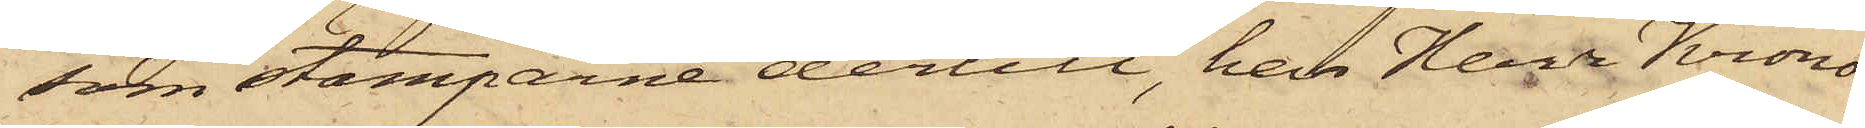som stamparne dertill, har Herr Krono¬
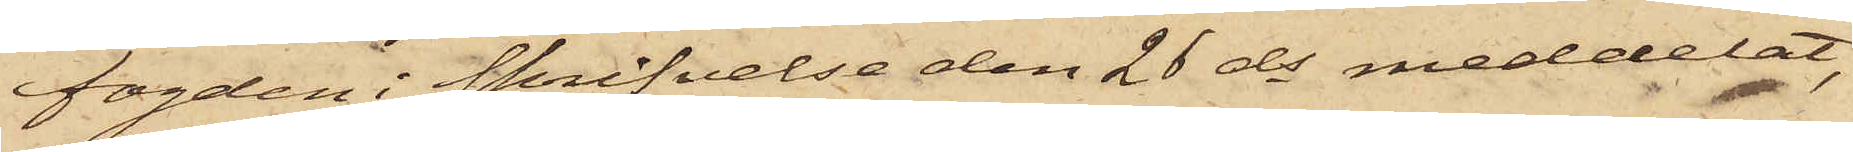fogden i Skrifvelse den 28 ds meddelat,
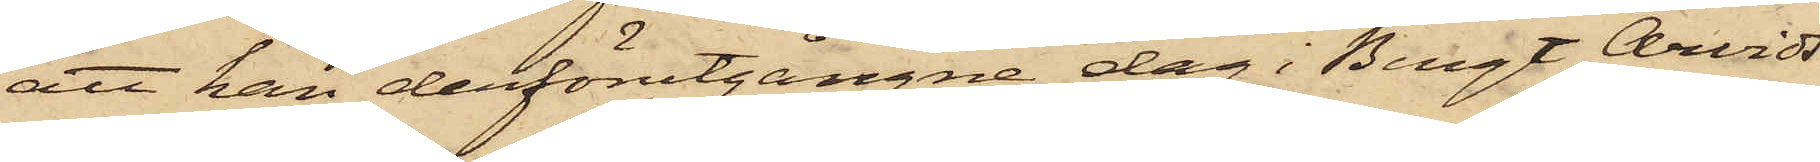att han derförutgångne dag i Bengt Arvids¬
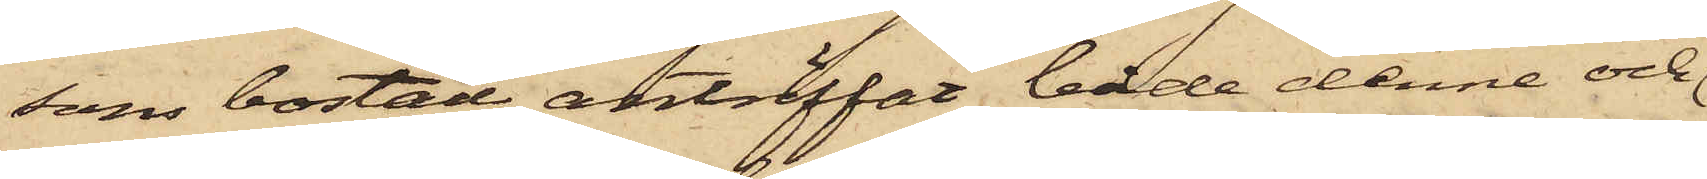sons bostad anträffat både denne och
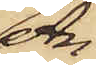An¬
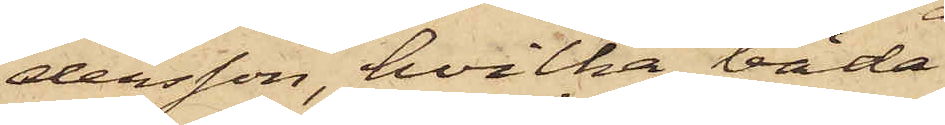dersson, hvilka båda
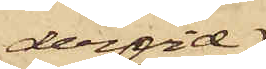dervid
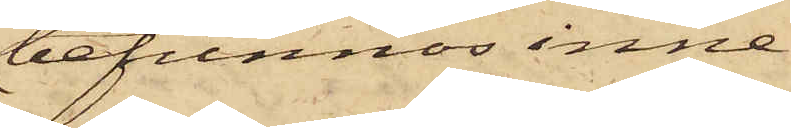befunnos inne¬
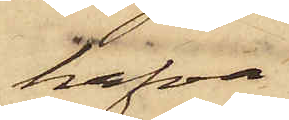hafva
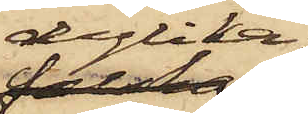dylika
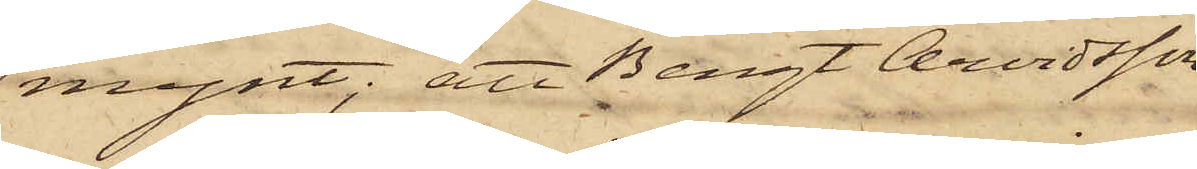mynt; att Bengt Arvidsson
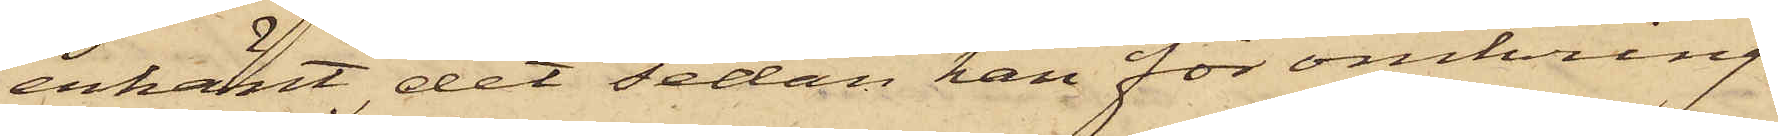erkänt, det sedan han för omkring
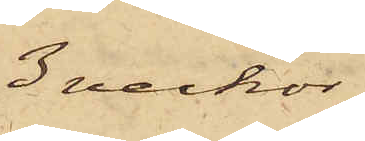3 veckor
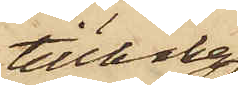tillbaka
